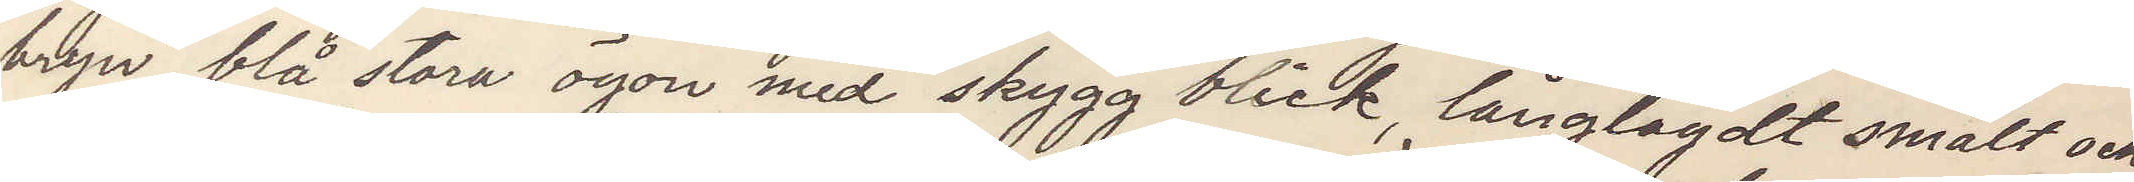bryn, blå stora ögon med skygg blick, långlagdt smalt och
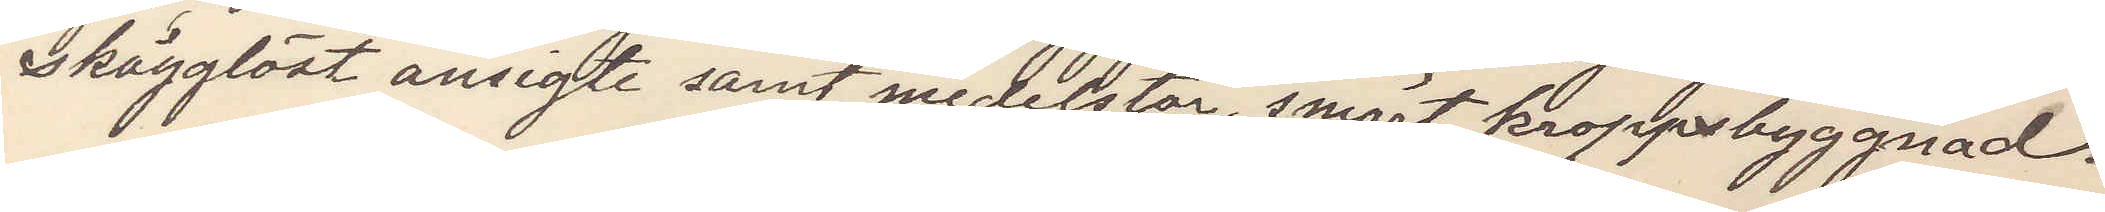skägglöst ansigte samt medelstor, smärt kroppsbyggnad.
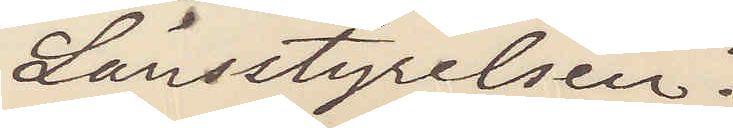Länsstyrelsen.
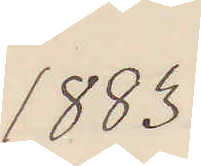1883
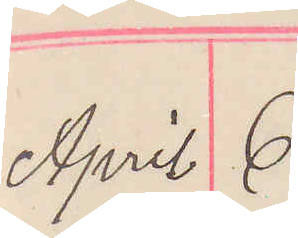April 6
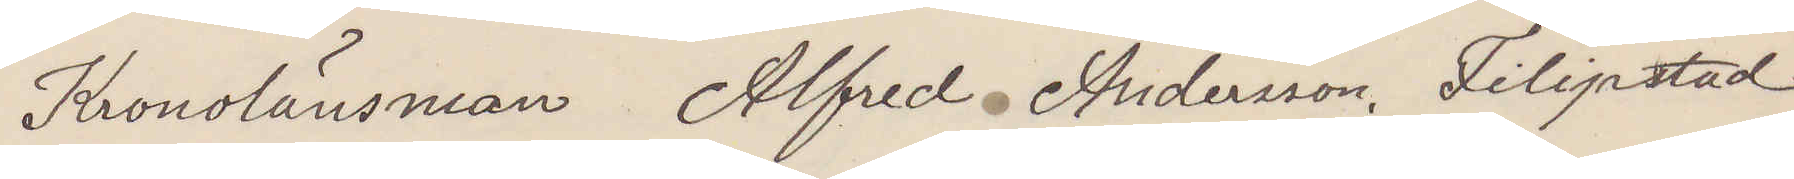Kronolänsman Alfred Andersson, Filipstad
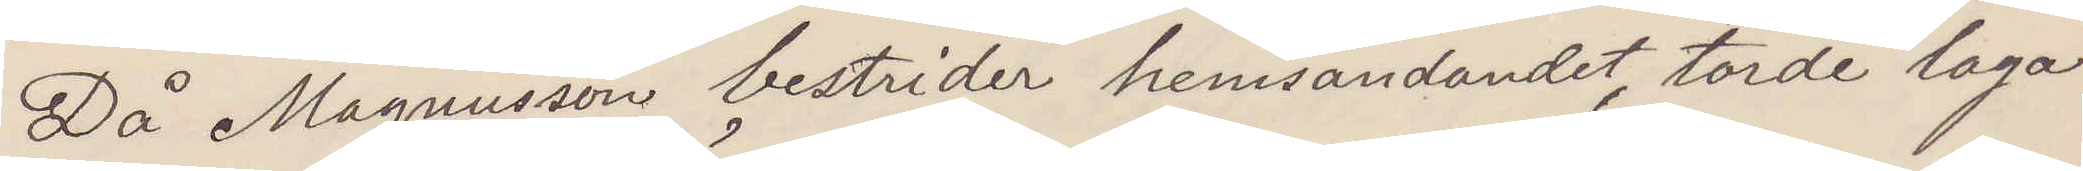Då Magnusson bestrider hemsändandet, torde laga
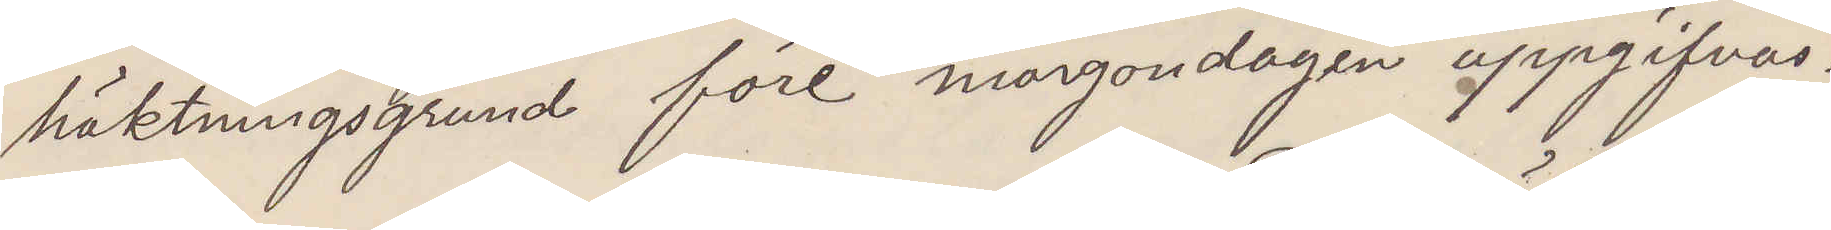häktningsgrund före morgondagen uppgifvas.
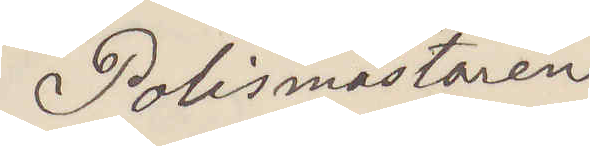Polismästaren
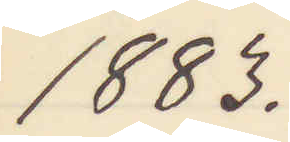1883.
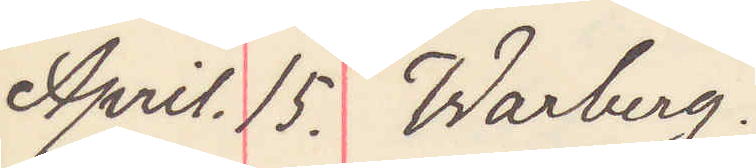April15. Warberg
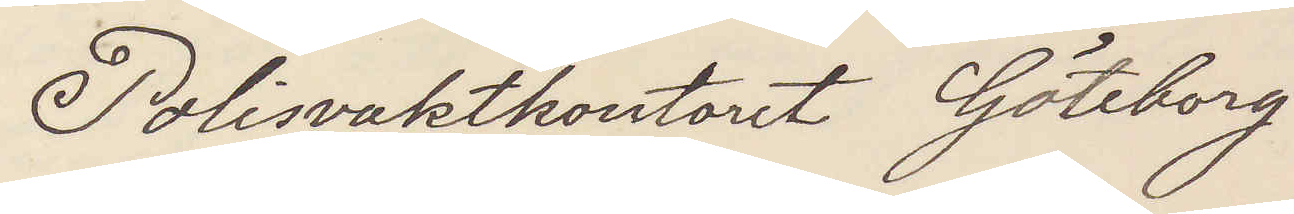Polisvaktkontoret Göteborg
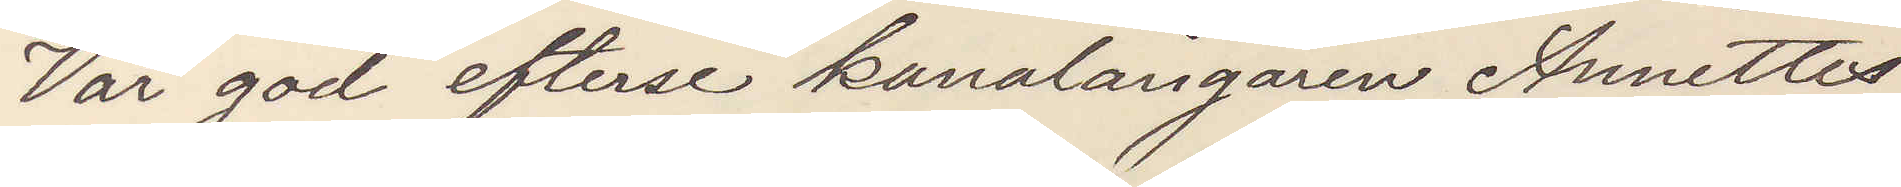Var god efterse kanalångaren Annettes
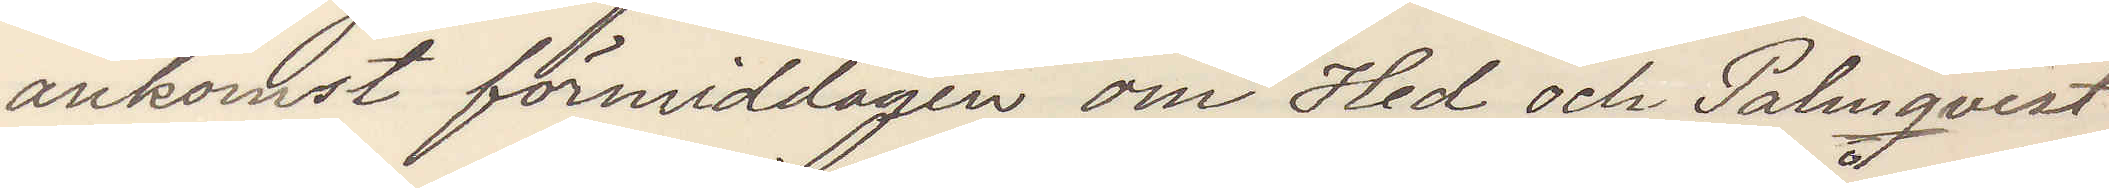ankomst förmiddagen om Hed och Palmqvist
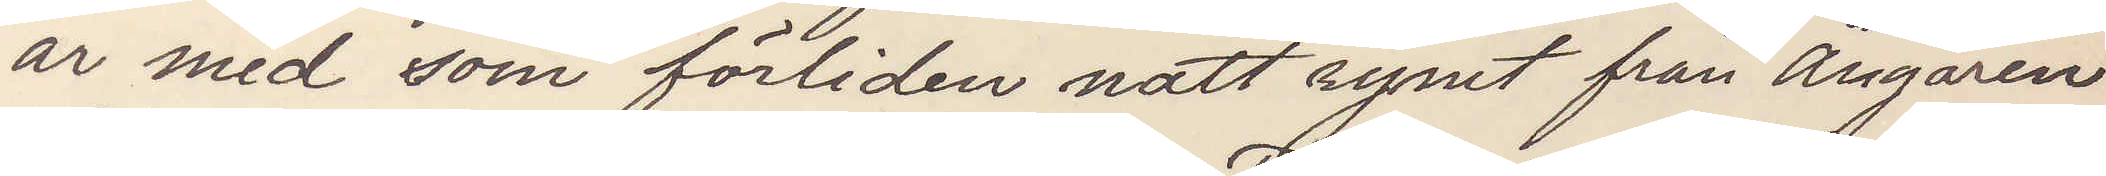är med som förliden natt rymt från Ångaren
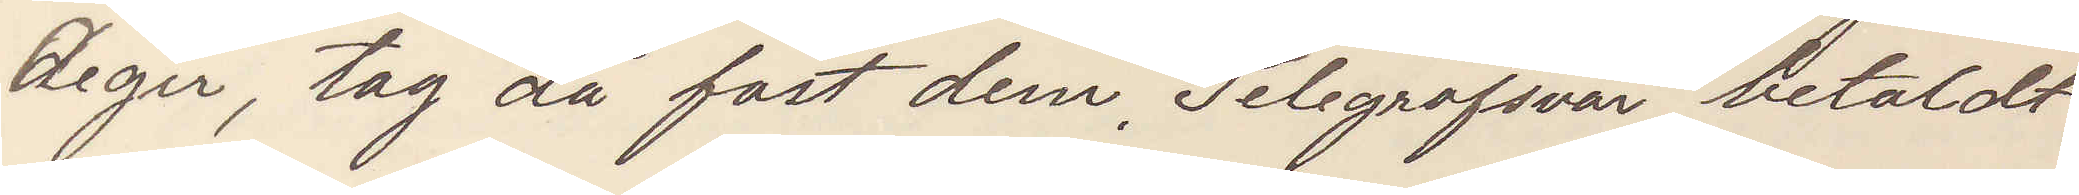Aegir, tag då fast dem. Telegrafsvar betaldt
